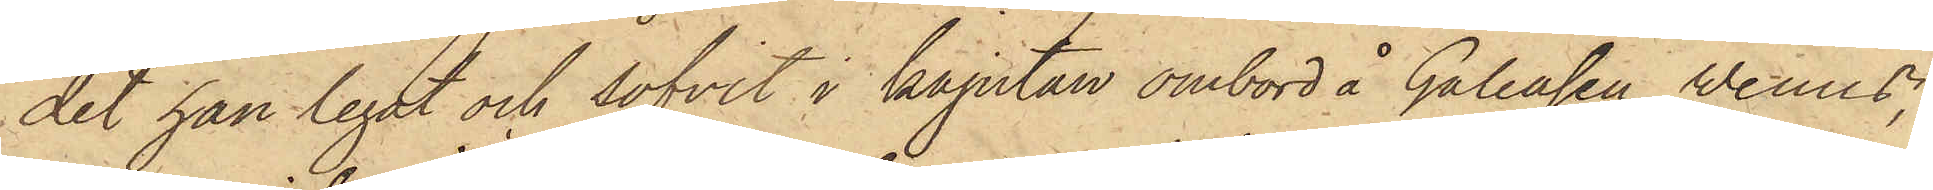det han legat och sofvit i kajutan ombord å Galeasen Wenus,
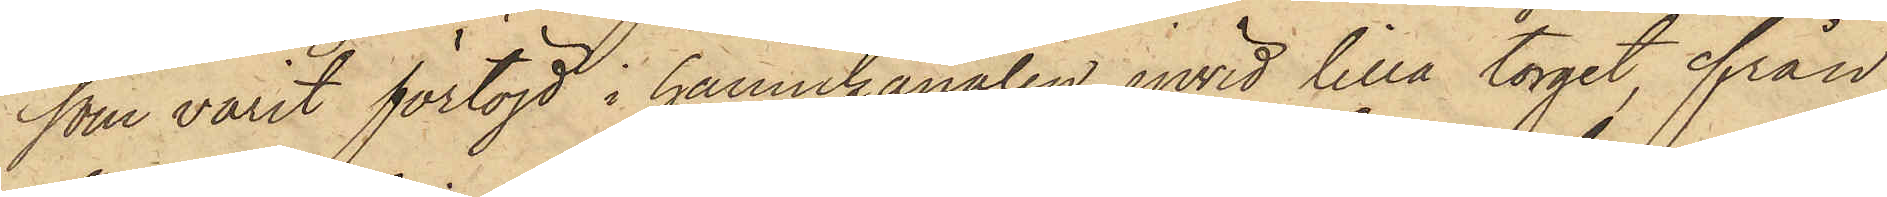som varit förtöjd i hamnkanalen invid lilla torget, ifrån
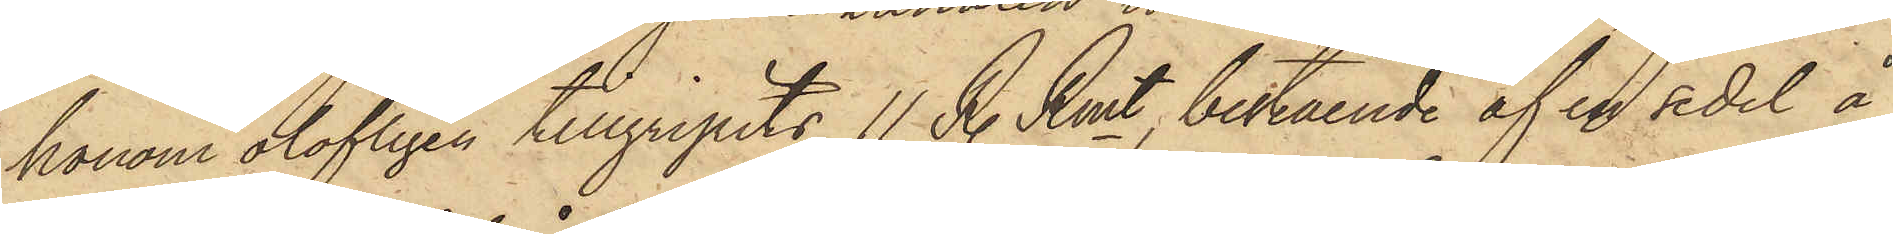honom olofligen tillgripits 11 R. Rmt, bestående af en sedel å
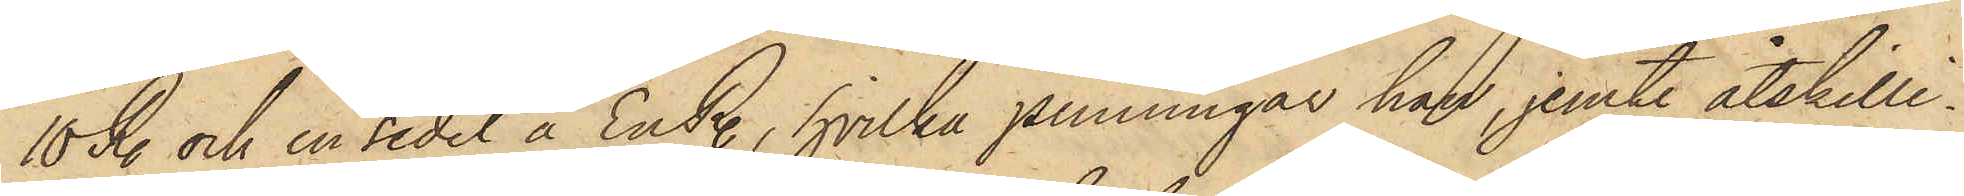10 R. och en sedel å En R., hvilka penningar han, jemte åtskilli¬
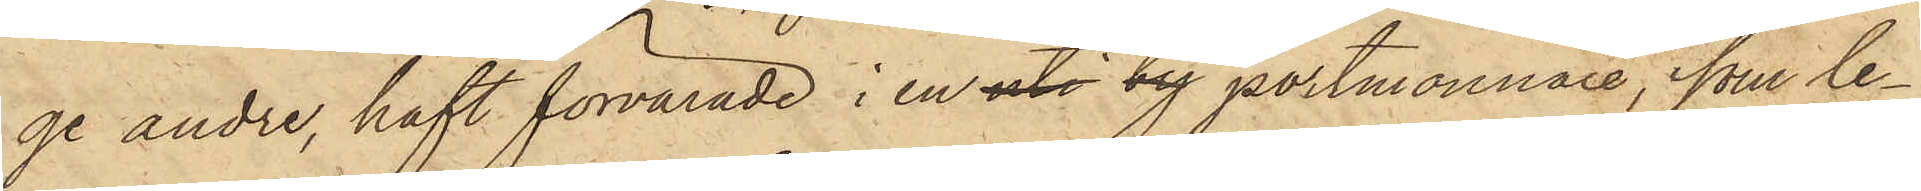ge andre, haft förvarade i en uti by portmonnaie, som le¬
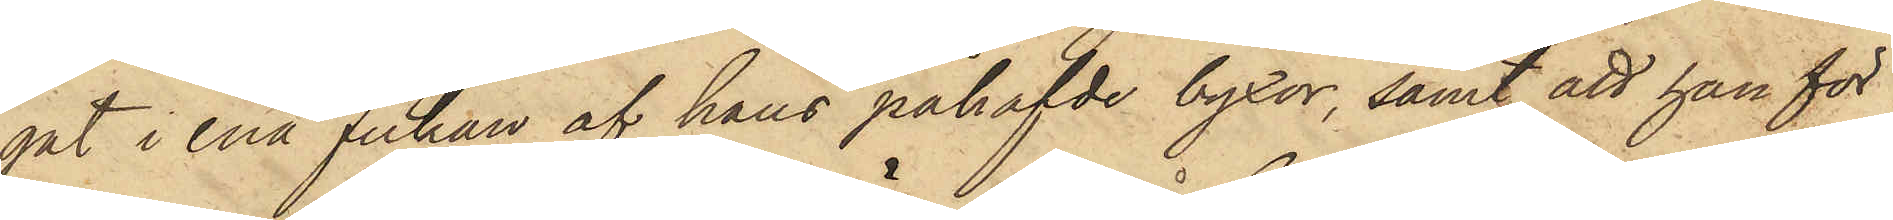gat i ena fickan af hans påhafvde byxor, samt att han för
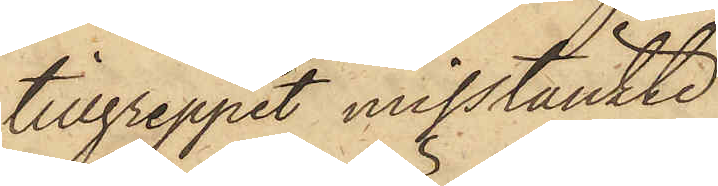tillgreppet misstänkte
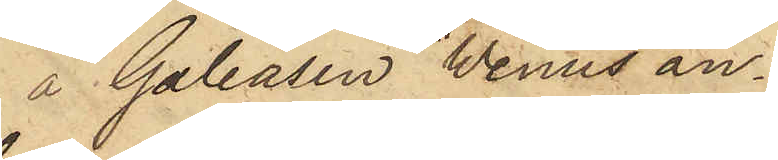å Galeasen "Wenus" an¬
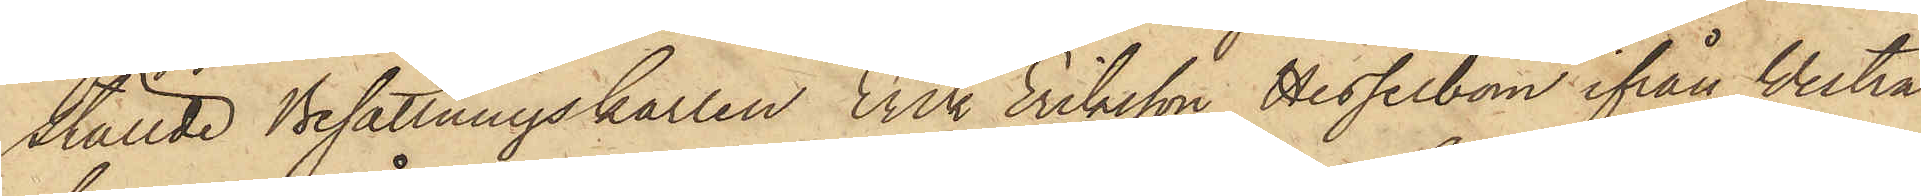ställde Besättningskarlen Erik Eriksson Hesselbom ifrån Vestra
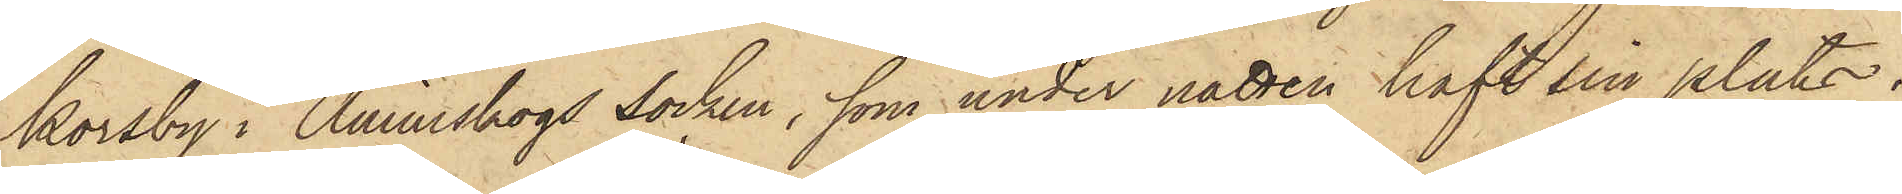Korsby i Ånimskogs Socken, som under natten haft sin plats i
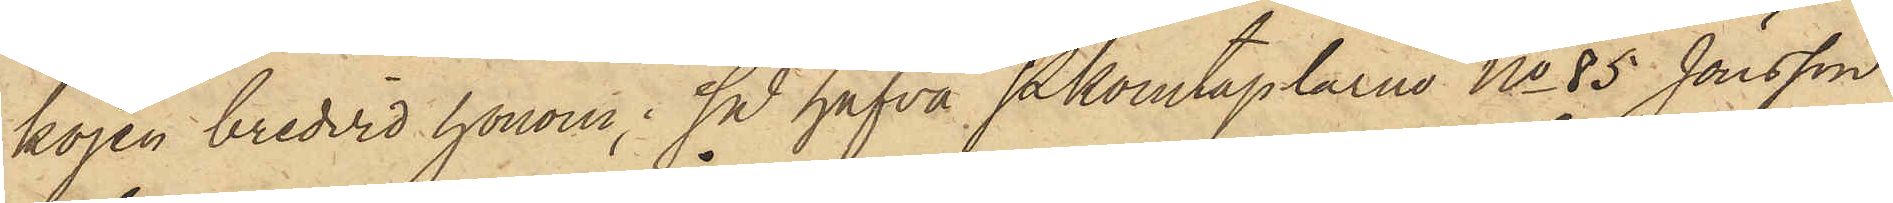kojen bredvid honom; så hafva Pkonstaplarne No 85 Jönsson
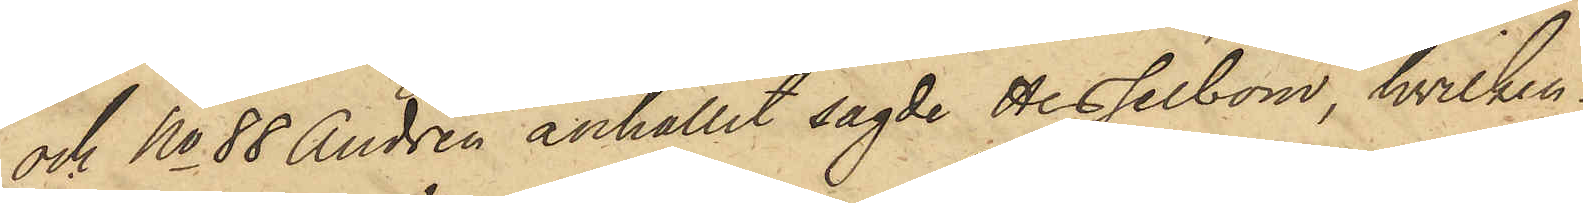och No 88 Andrén anhållit sagde Hesselbom, hvilken
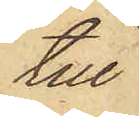till
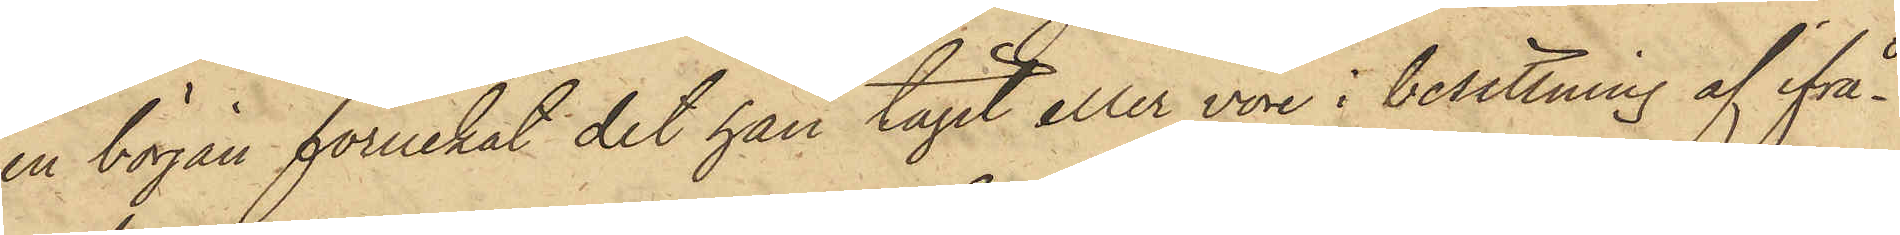en början förnekat det han tagit eller vore i besittning af ifrå¬
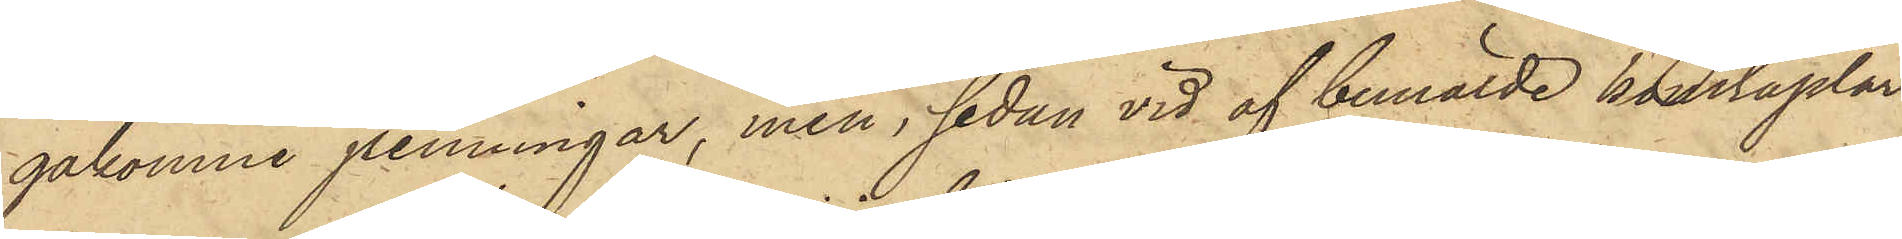gakomne penningar, men, sedan vid af bemälde konstaplar
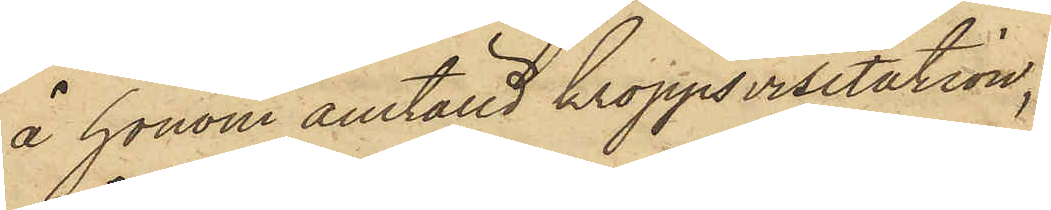å honom anställd kroppsvisitation,
